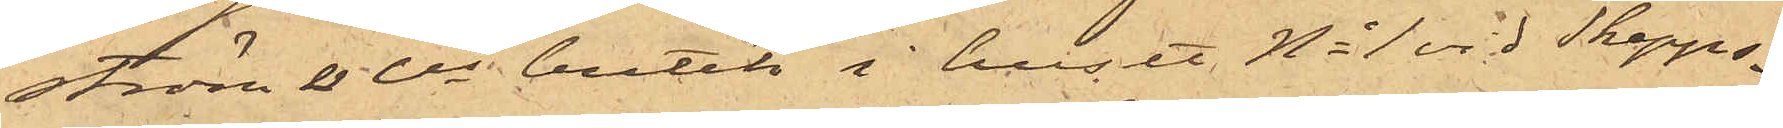ström & Cis butik i huset No 1 vid Skepps¬
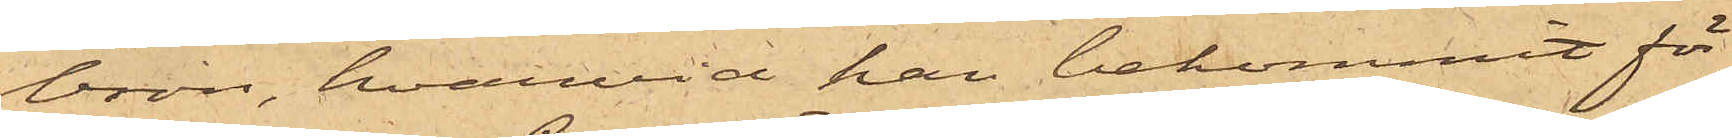bron, hvarvid han bekommit för
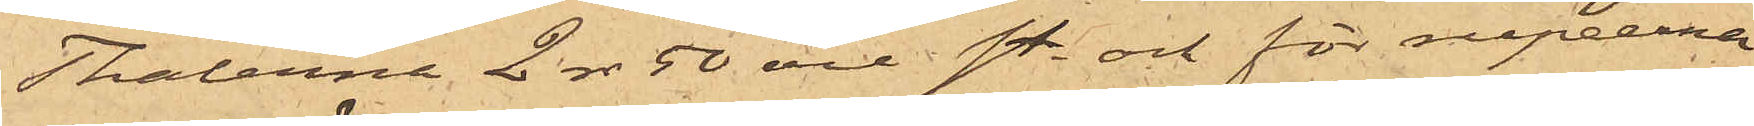Thalerna 2 rdr 50 öre st. och för rupeerna
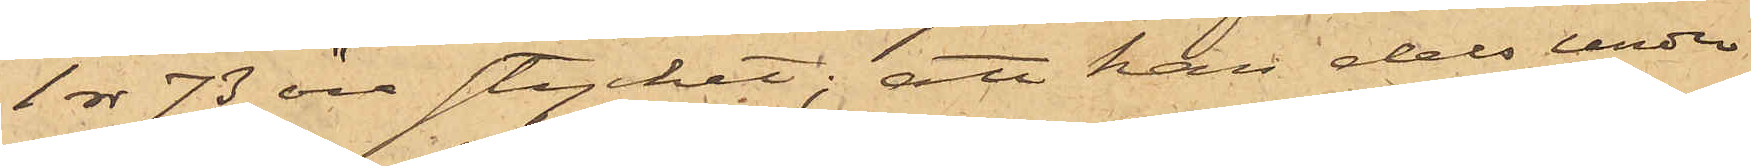1 rdr 73 öre stycket; att han dels under
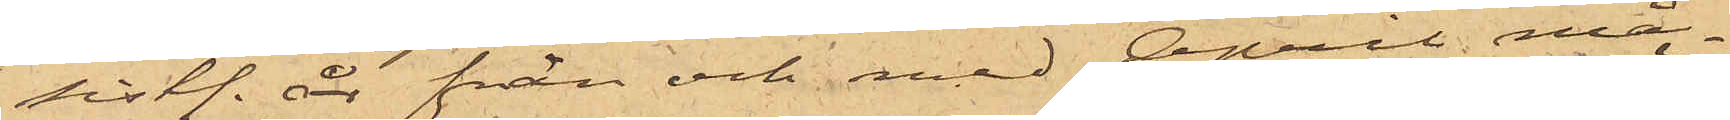sistl. år från och med April må¬
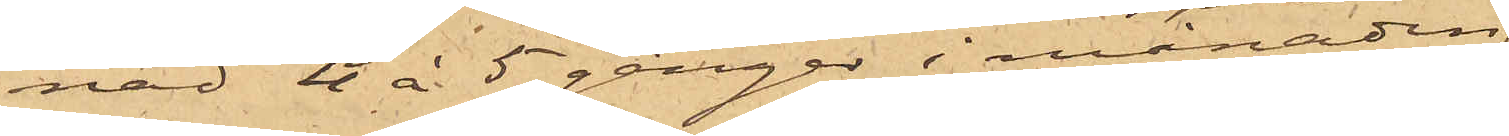nad 4 à 5 gånger i månaden
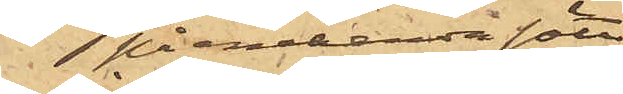på enahanda sätt
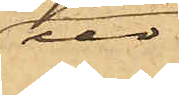ur
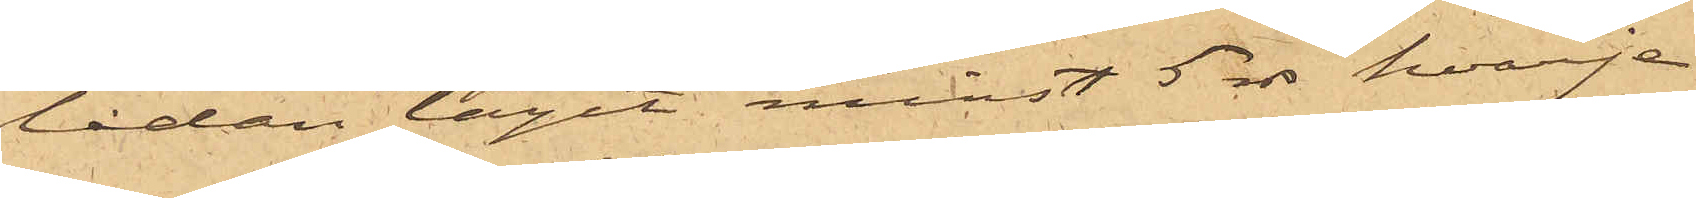lådan tagit minst 5 rdr hvarje
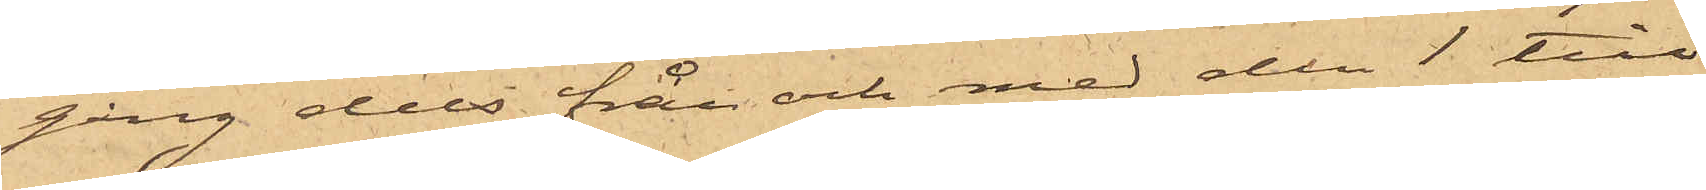gång dels från och med den 1 till
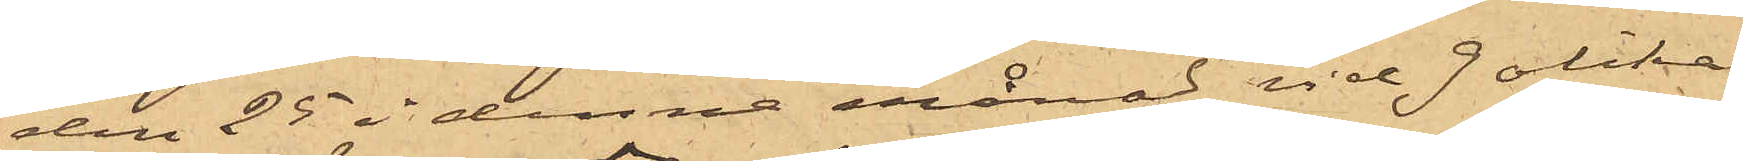den 25 i denna månad vid 9 olika
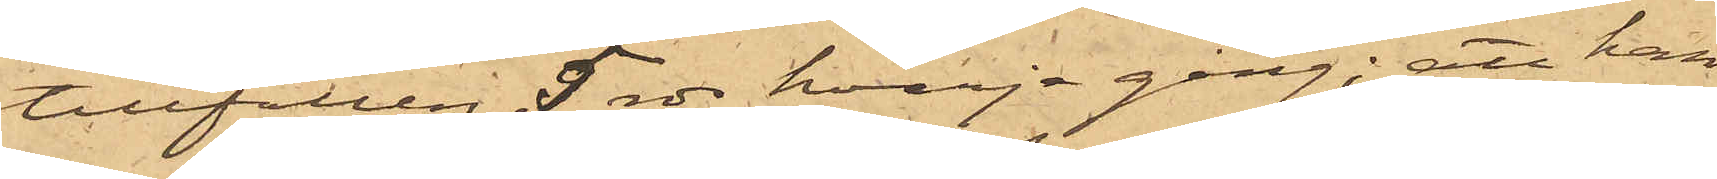tillfällen 5 rdr hvarje gång; att han
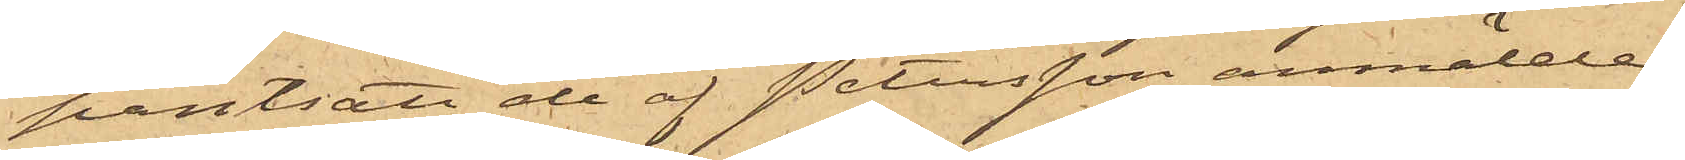pantsatt de af Petersson anmälde
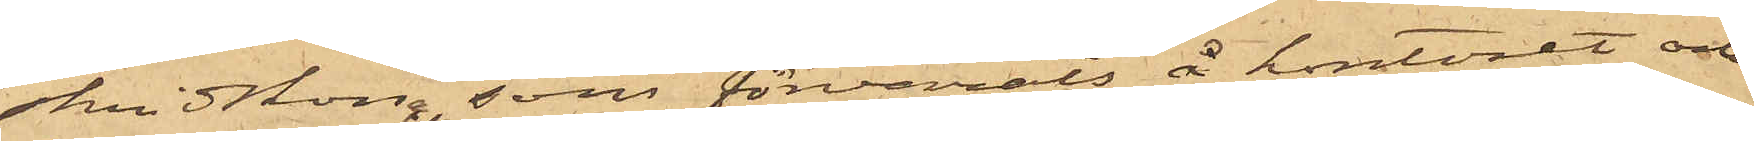skridskor, som förvarats å kontoret och
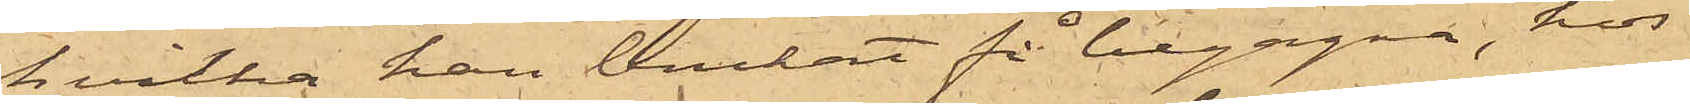hvilka han brukat få begagna, hos
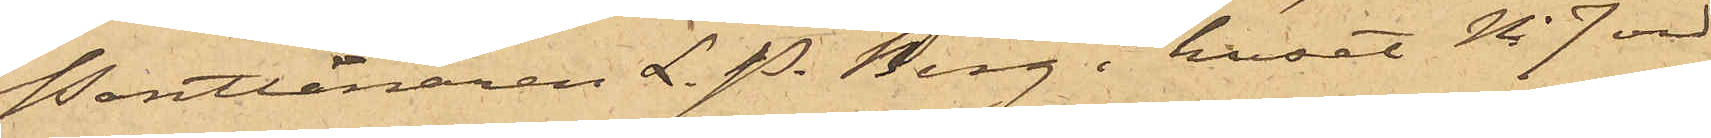Pantlånaren L. P. Berg i huset No 7 vid
